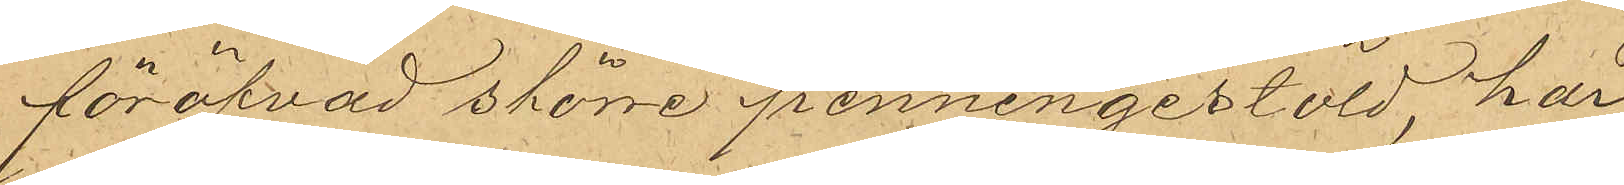föröfvad större penningestöld, har
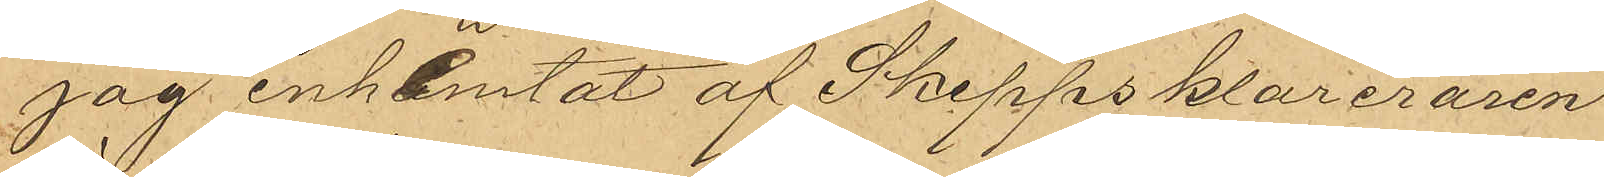jag inhemtat af Skeppsklareraren
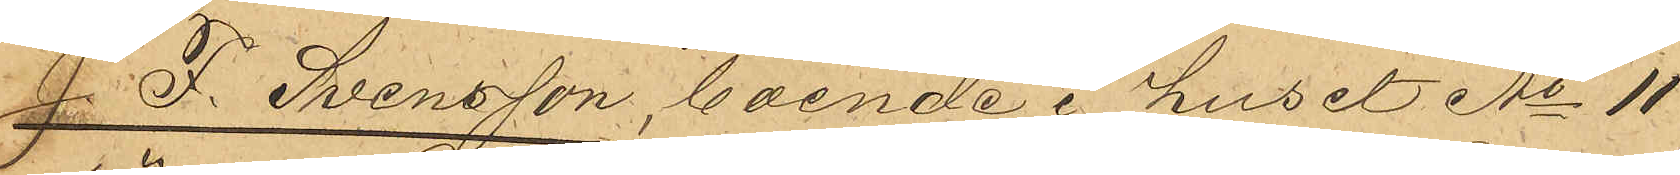J F. Svensson, boende i huset No 11
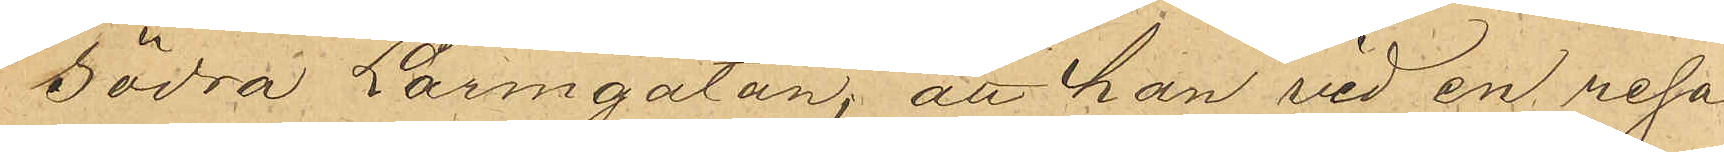Södra Larmgatan, att han vid en resa
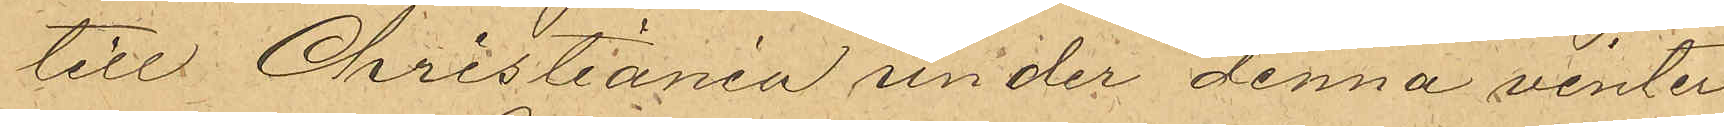till Christiania under denna vinter
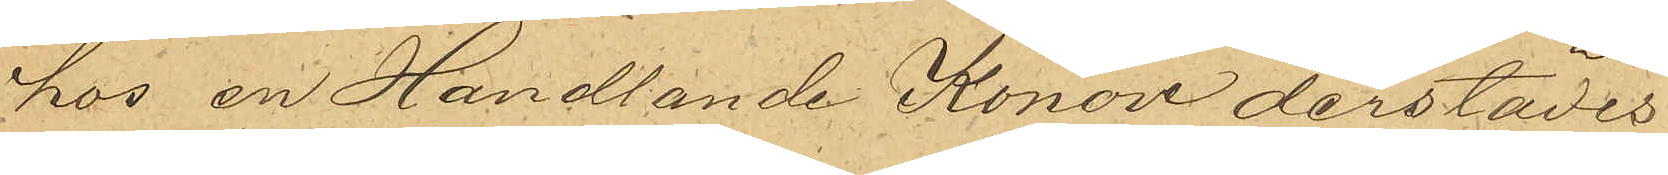hos en Handlande Konow derstädes
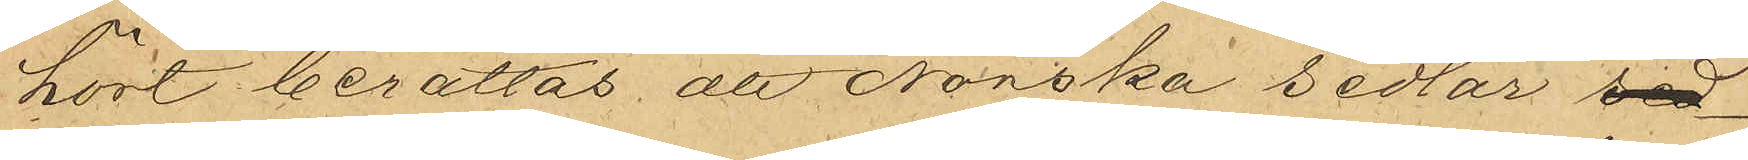hört berättas att Norska sedlar sd
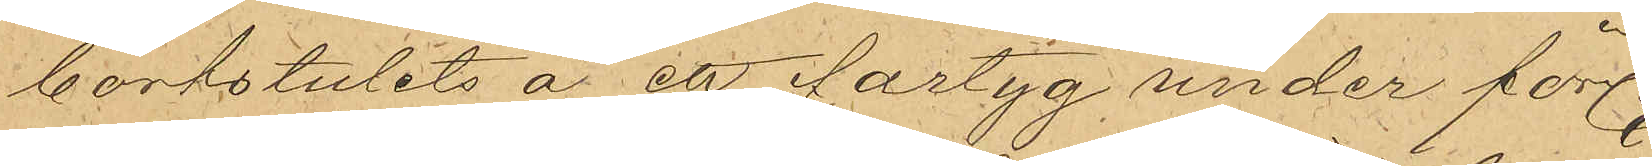bortstulits å ett fartyg under förln
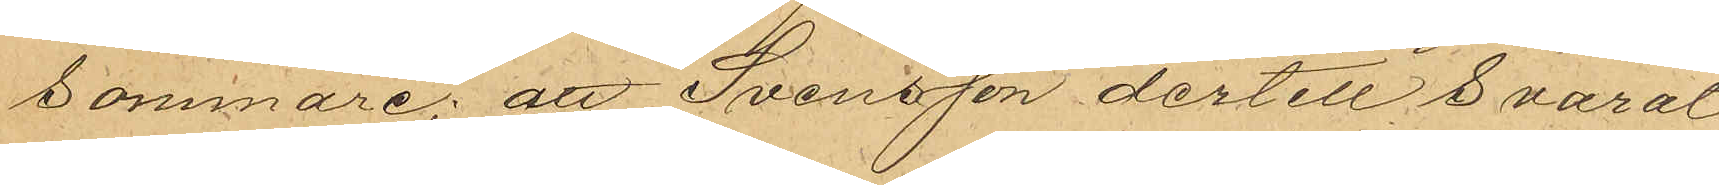sommare; att Svensson dertill svarat
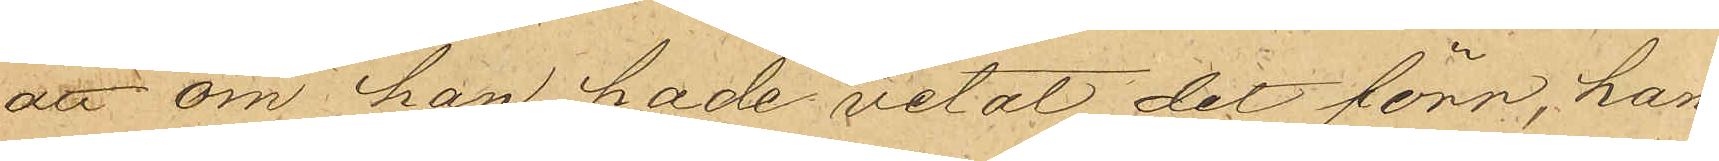att om han hade vetat det förr, han
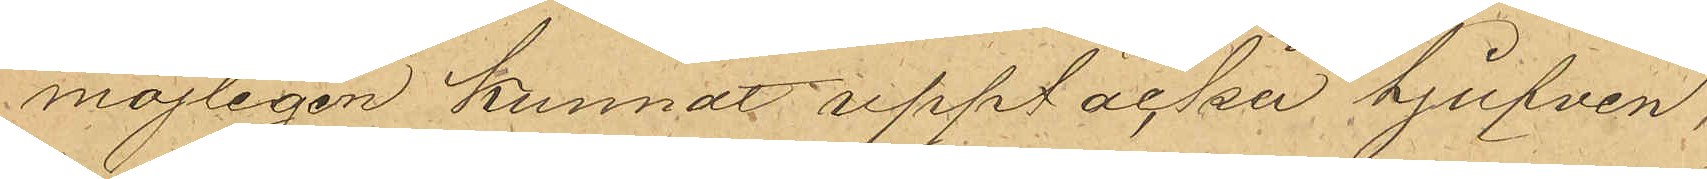möjligen kunnat upptäcka tjufven,
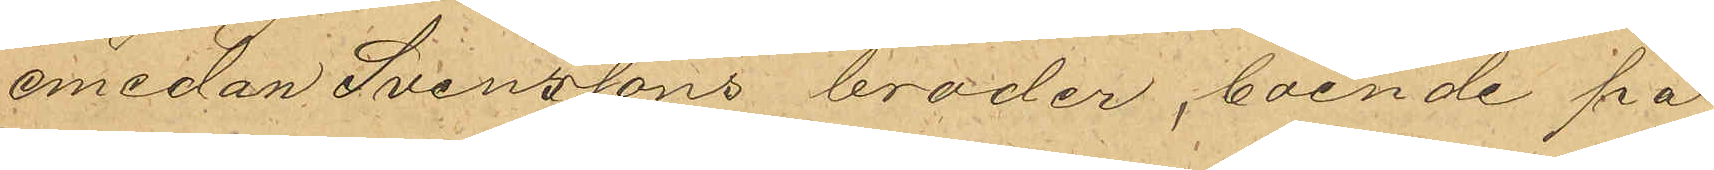emedan Svenssons broder, boende på
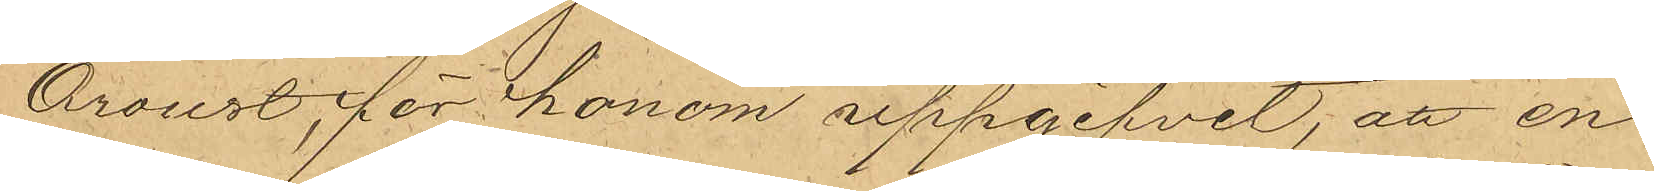Oroust, för honom uppgifvit, att en
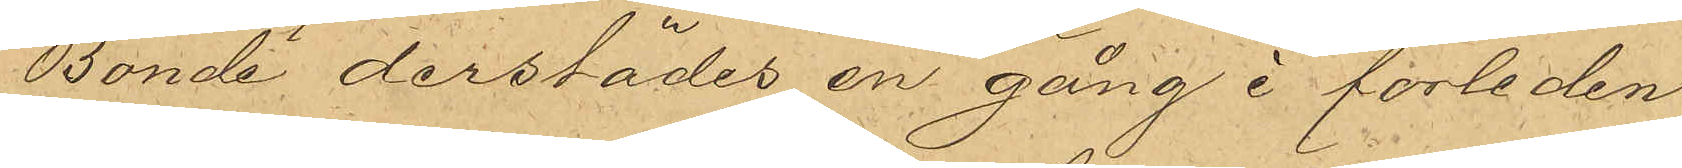Bonde derstädes en gång i förliden
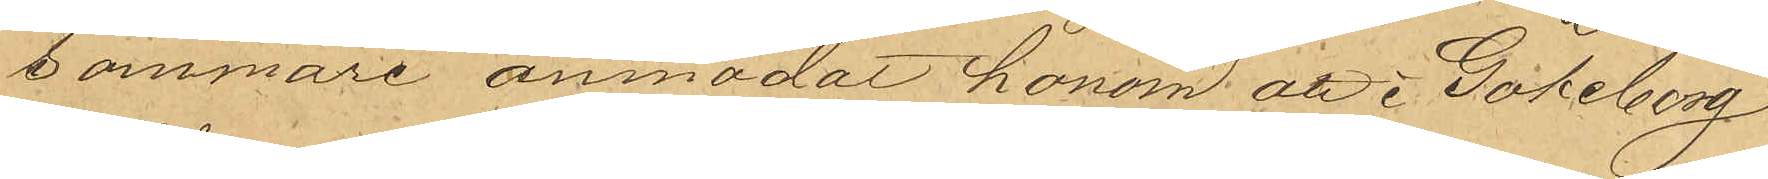sommare anmodat honom att i Göteborg
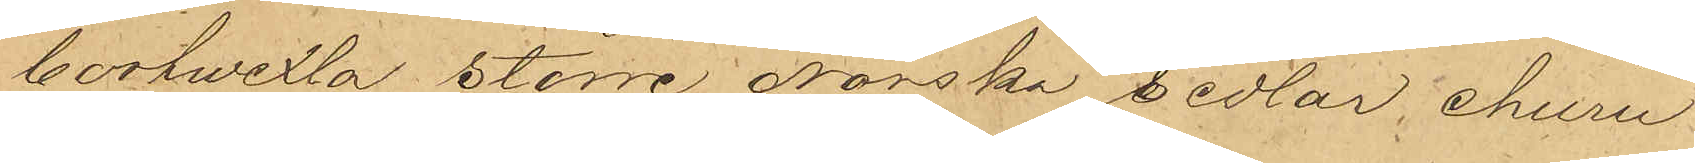bortwexla större Norska sedlar, ehuru
